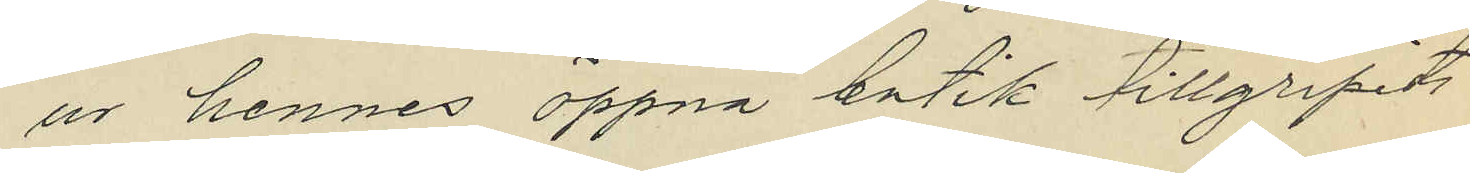ur hennes öppna butik tillgripits
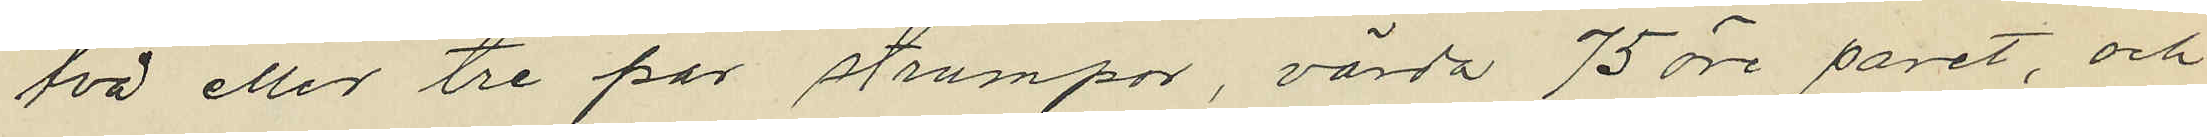två eller tre par strumpor, värda 75 öre paret, och
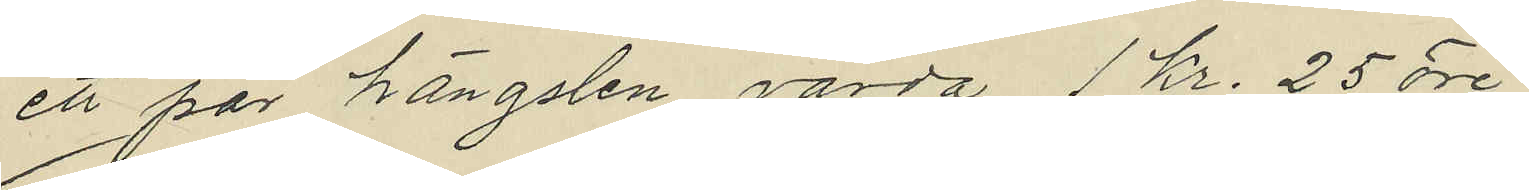ett par hängslen, värda 1 Kr. 25 öre
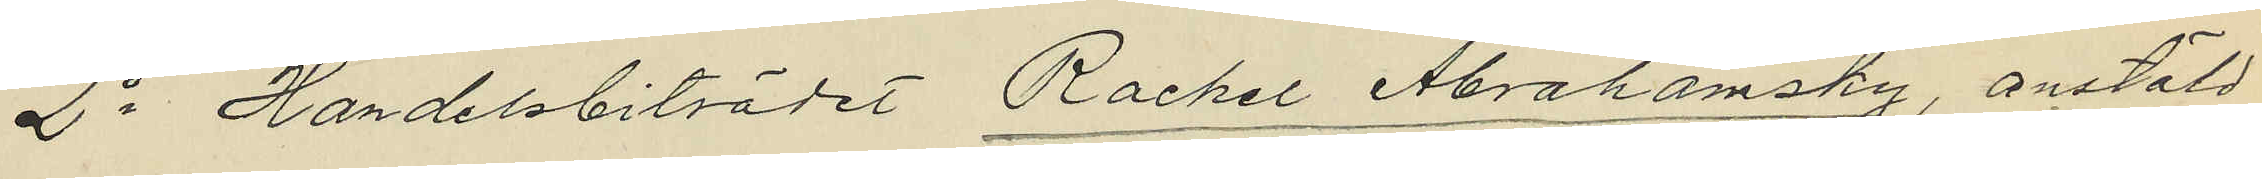2o Handelsbiträdet Rachel Abrahamsky, anstäld
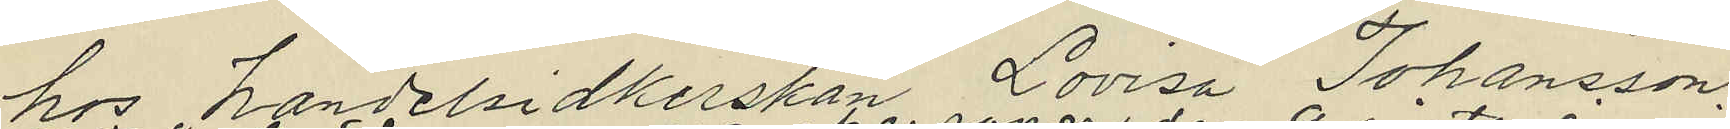hos handelsidkerskan Lovisa Johansson,
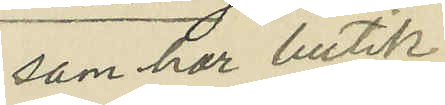som har butik
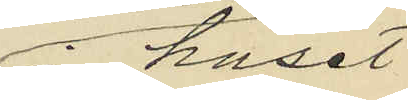i huset
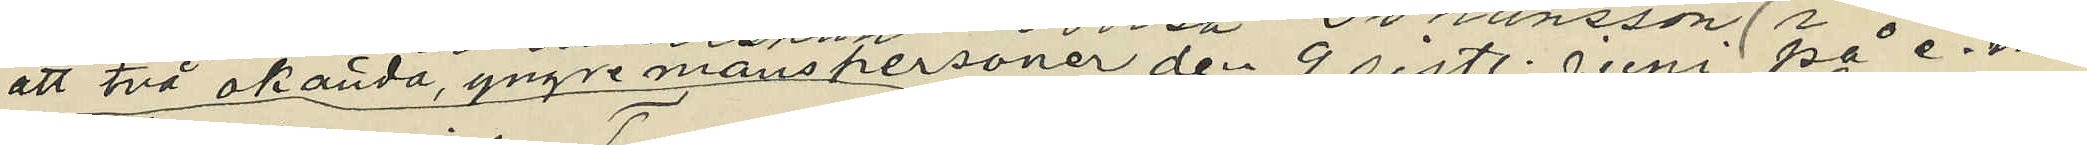att två okända, yngre manspersoner den 9 sistl. Juni på e. m.
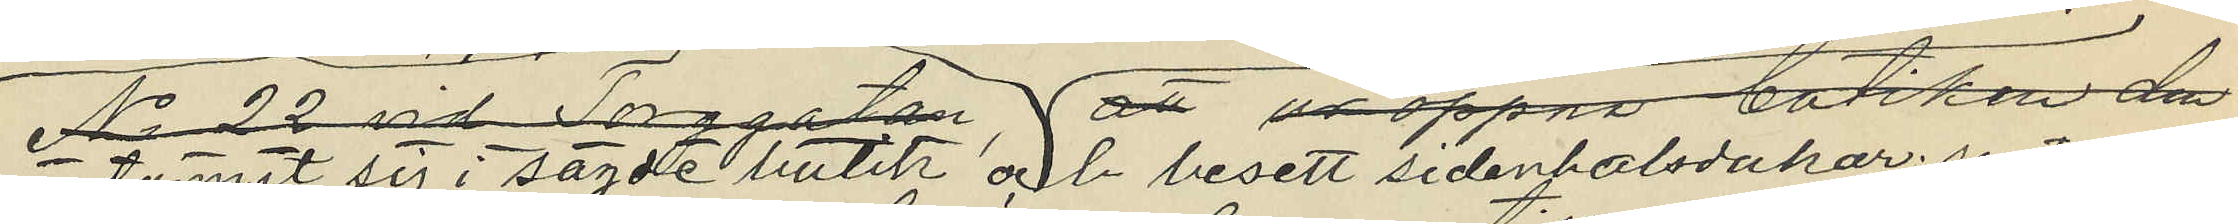infunnit sig i sagde butik och besett sidenhalsdukar
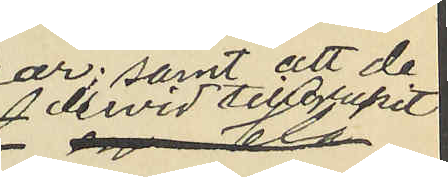 samt att de dervid tillgripit
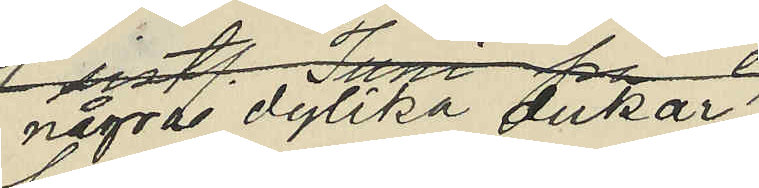några dylika dukar
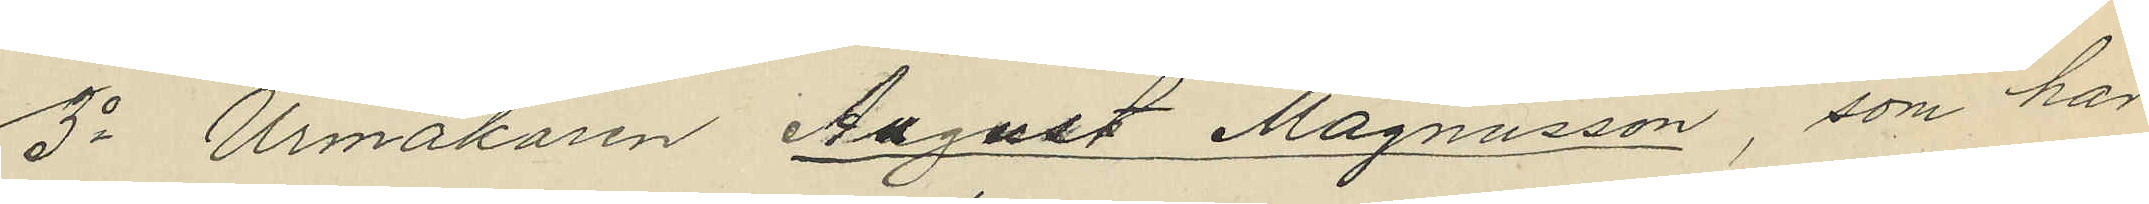3o Urmakaren August Magnusson som har
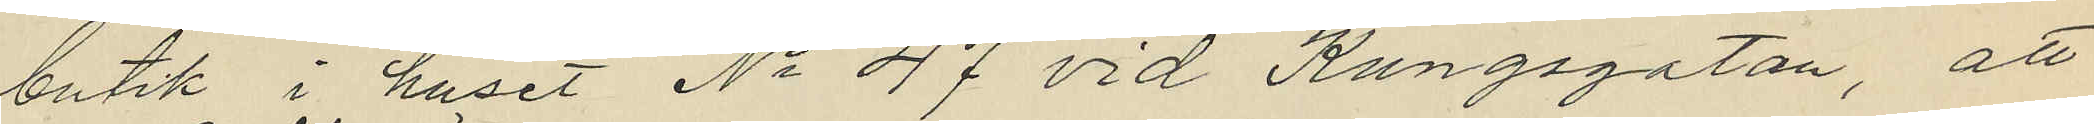butik i huset No 47 vid Kungsgatan, att
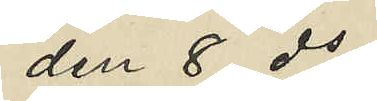den 8 ds
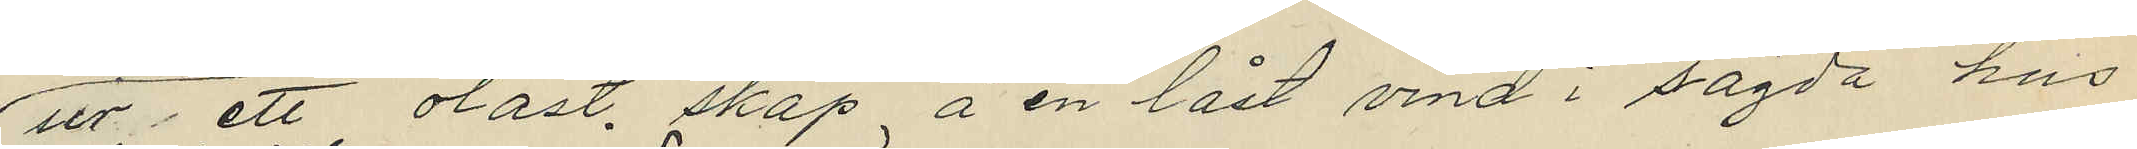ut, ett olåst skåp å en låst vind i sagda hus
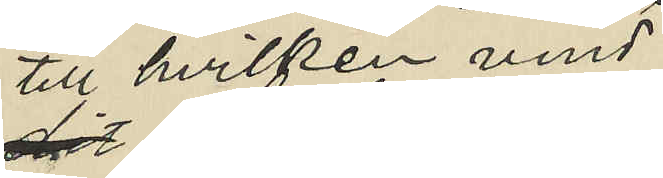till hvilken vind
